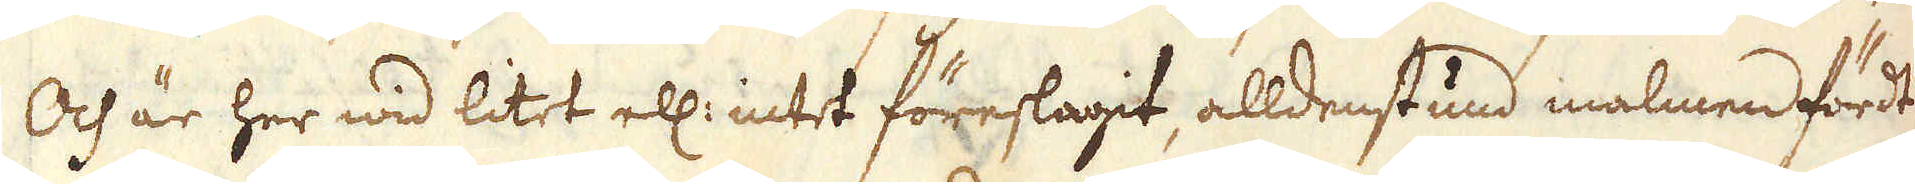Och är her wid litet ell: intet föreslagit, alldenstund malmen fördt
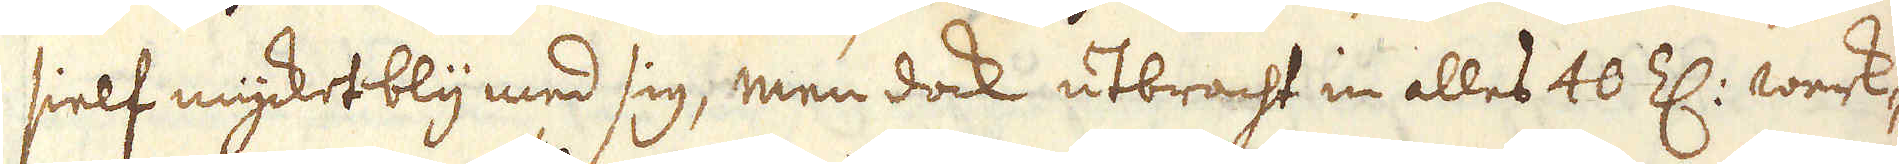sielf mycket bly med sig, men dock utbracht in alles 40 Z: werk-
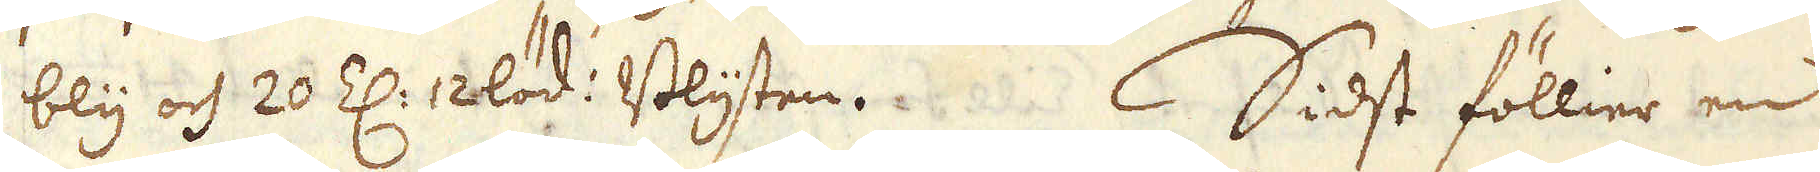bly och 20 Z: 12löd: Blysten. Sidst föllier en
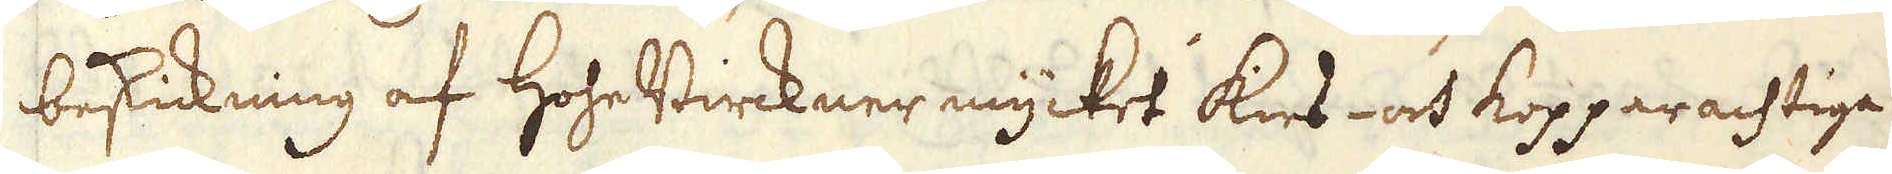beskickning af HoheBirckner mycket kies- och kopparachtiga
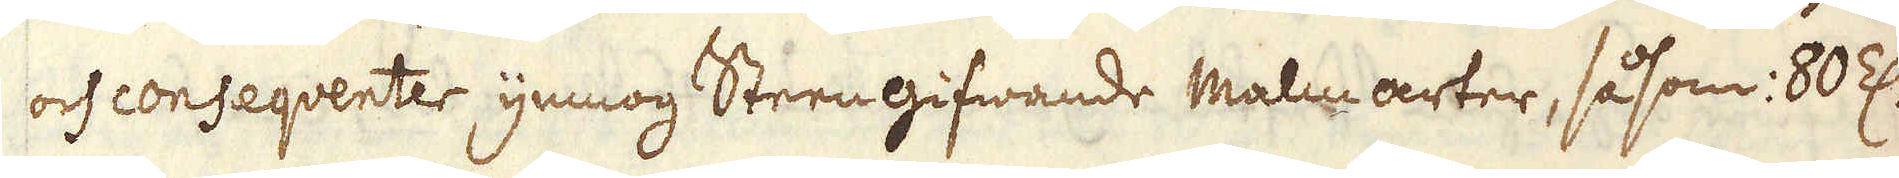och conseqventer ymnog Steengifwande Malm arter, såsom: 80 Z:
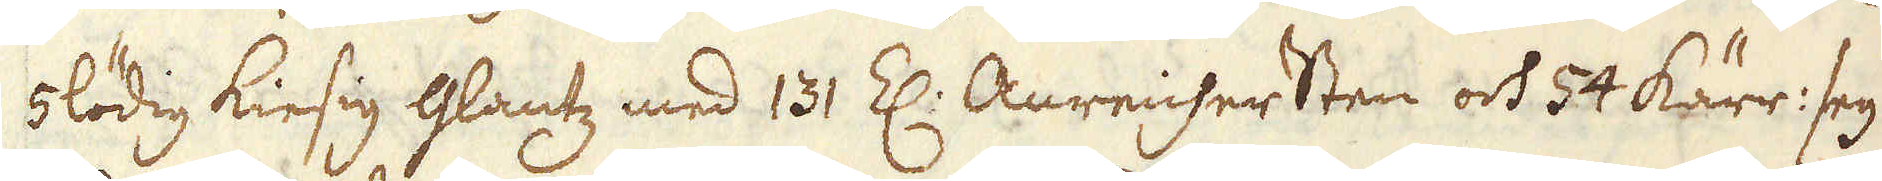5lödig kiesig Glantz med 131 Z: Anreichersten och 54 kärr: seg
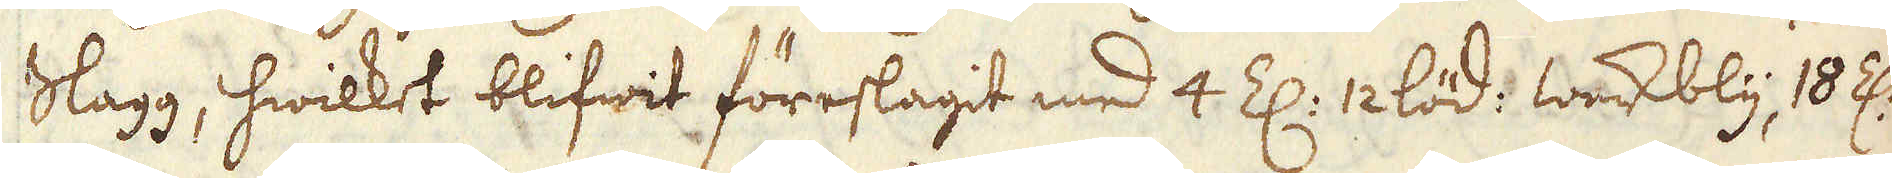Slagg, hwilket blifwit föreslagit med 4 Z: 12 löd: werkbly 18 Z:
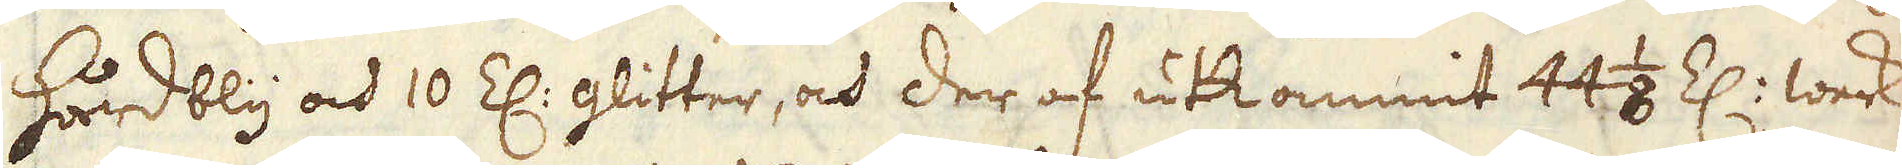hårdbly och 10 Z: glitter, och der af utkommit 44 1/8 Z: werk-
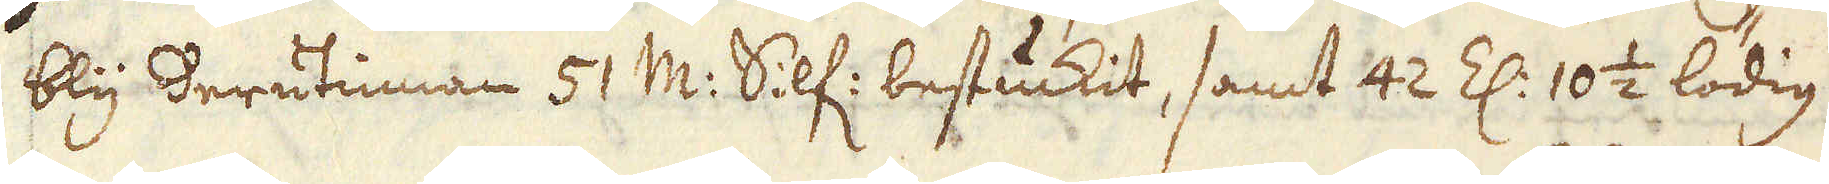bly derutinnan 51 M:r Silf: bestuckit, samt 42 Z: 10 1/2 lödig
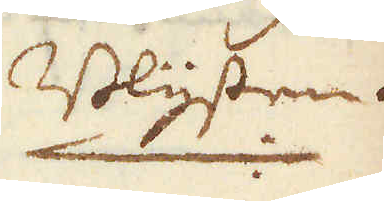Blysten.
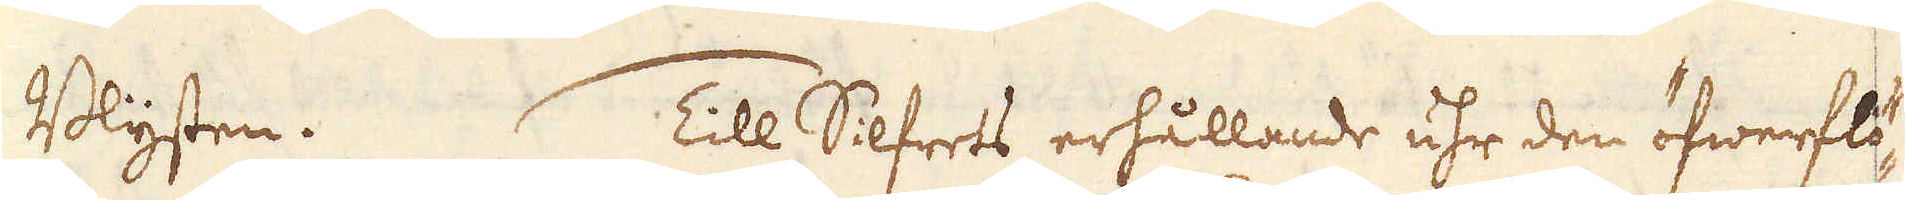Blysten. Till Silfres erhållande uhr den öfwerflö-
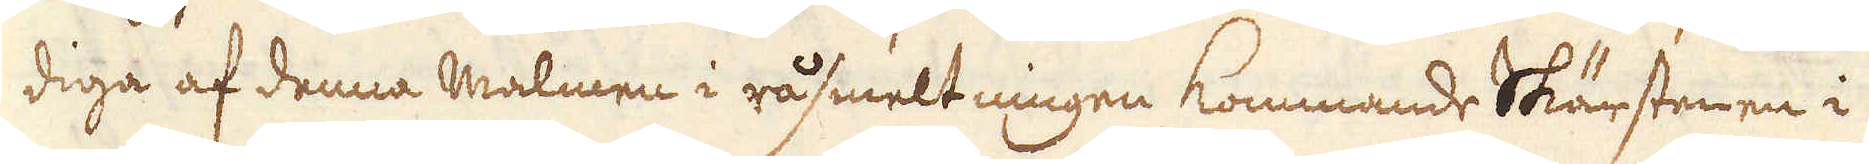diga af denna malmen i råsmeltningen kommande Skärstenen i
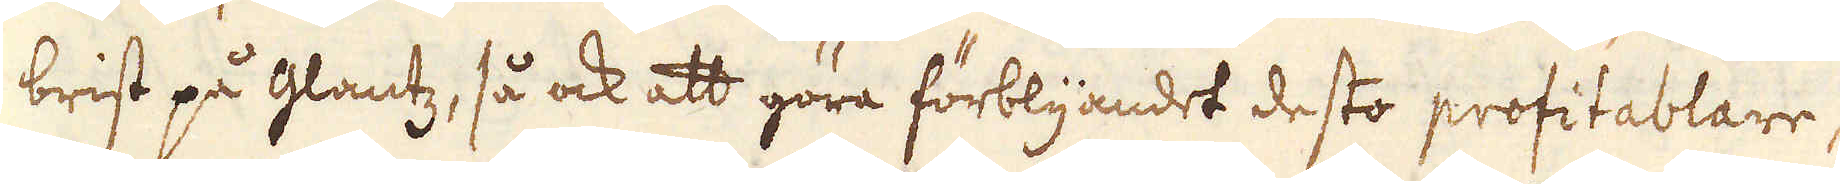brist på glantz, så ock att göra förblyandet desto profitablare,
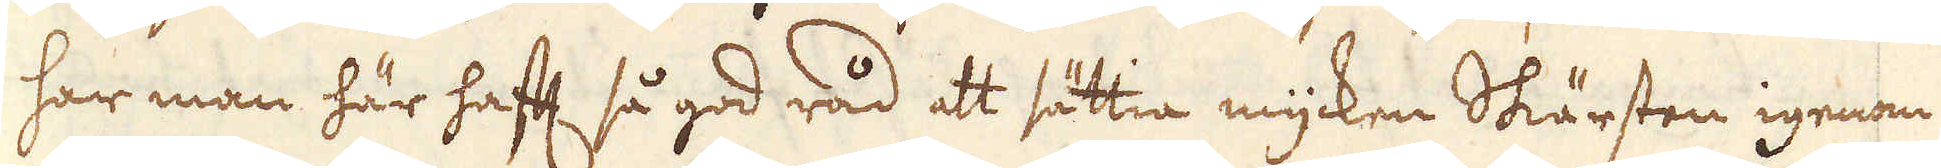har man här haft så god råd att sättia mycken Skärsten igenom
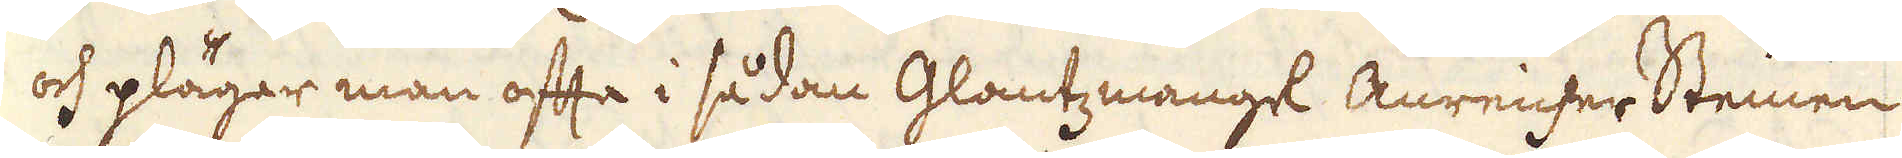och plägar man ofta i sådan Glantzmangel Anreicher Steinen
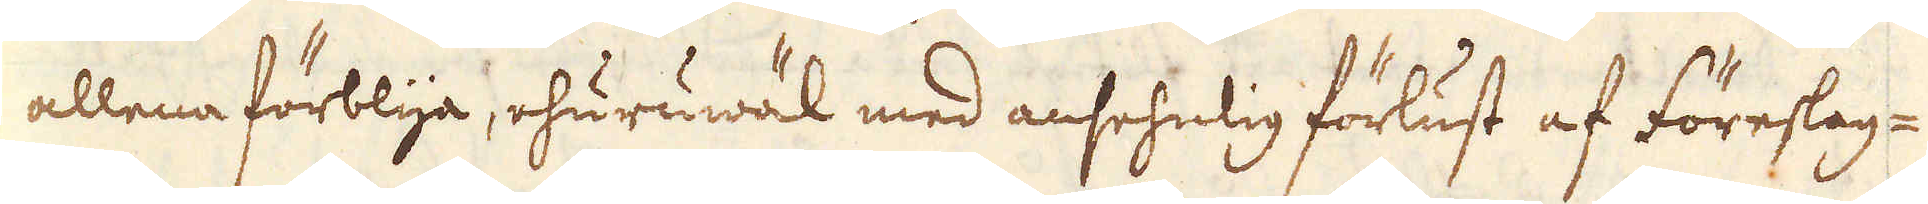allena förblya, ehuruwäl med ansehnlig förlust af föreslag-
